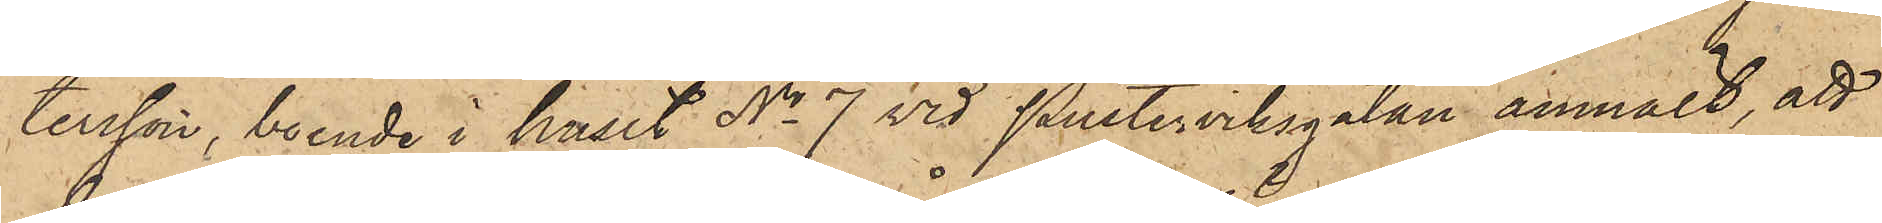tersson, boende i huset No 7 vid Pusterviksgatan anmält, att
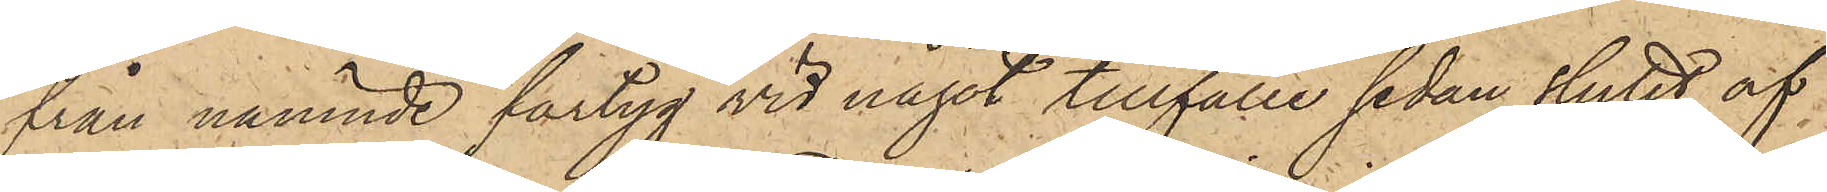från nämnde fartyg vid något tillfälle sedan slutet af
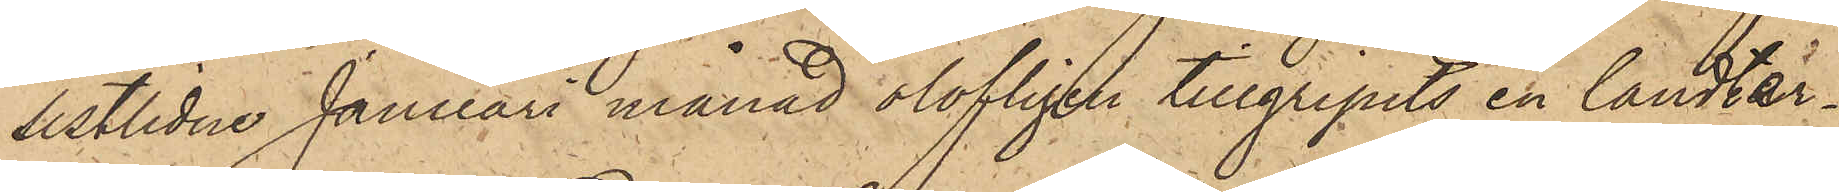sistlidne Januari månad olofligen tillgripits en landter¬
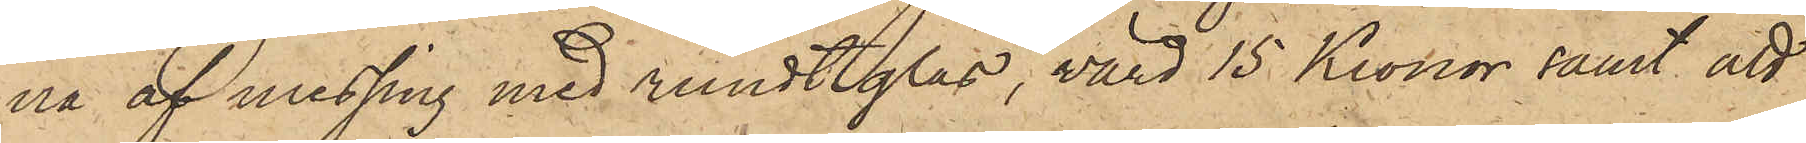na af messing med rundtglas, värd 15 Kronor samt att
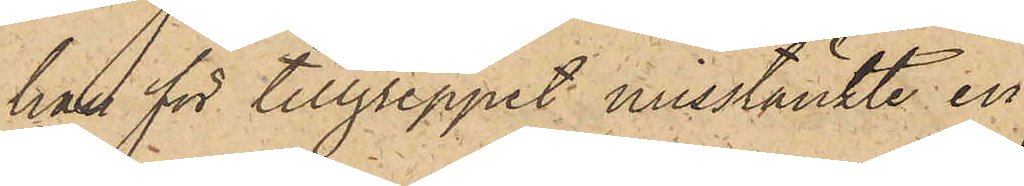han för tillgreppet misstänkte en
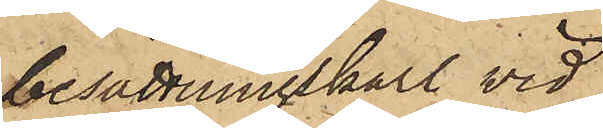besättningskarl vid
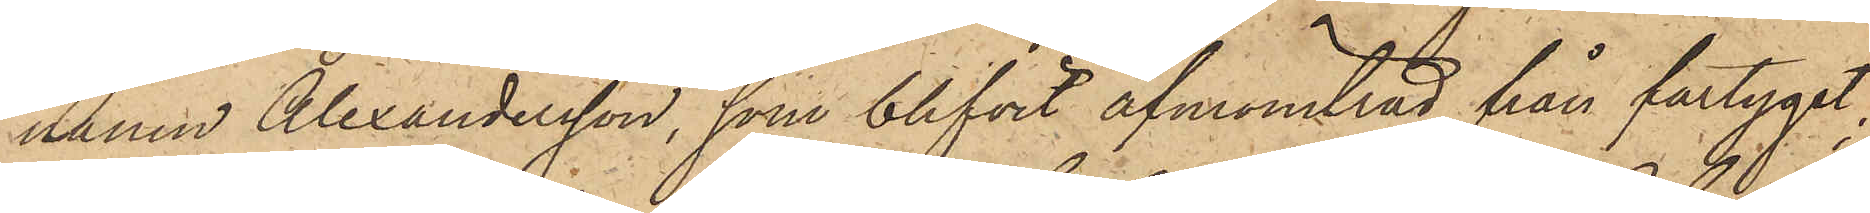namn Alexandersson, som blifvit afmönstrad från fartyget,
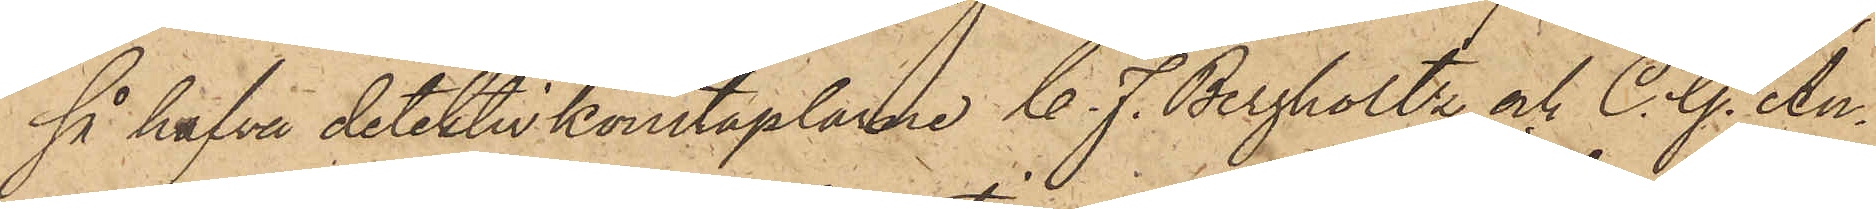så hafva detektivkonstaplarne C. F. Bergholtz och C. G. An¬
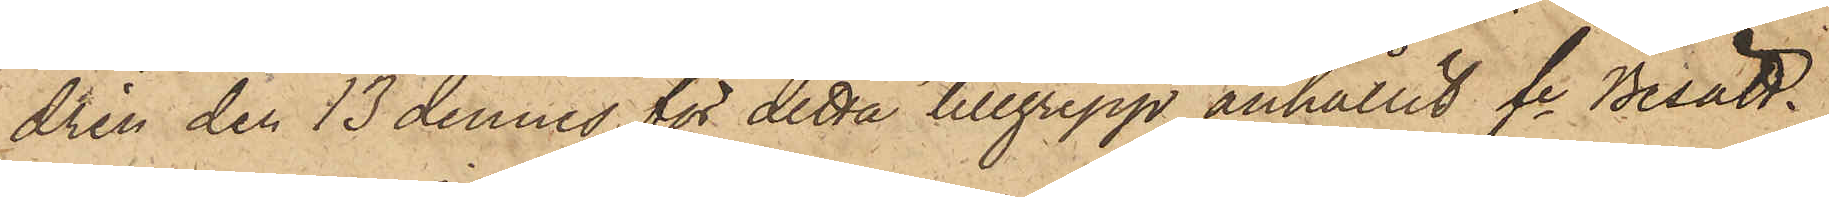drén den 13 dennes för detta tillgrepp anhållit fe Besätt¬
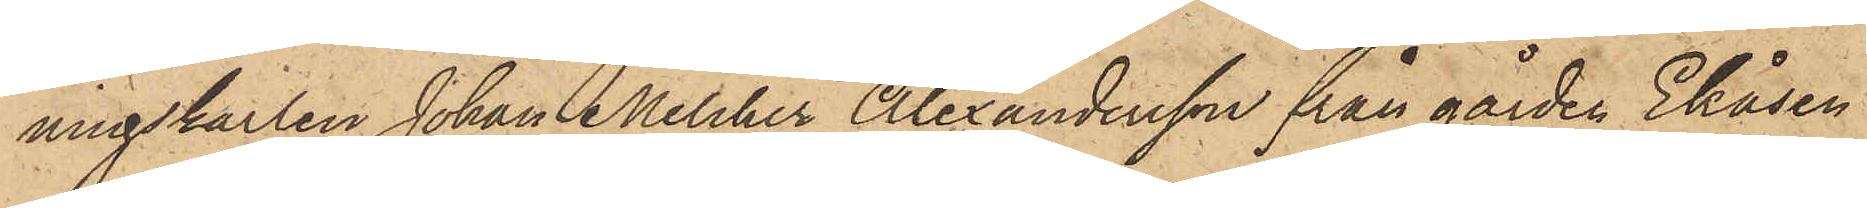ningskarlen Johan Melcher Alexandersson från gården Ekåsen
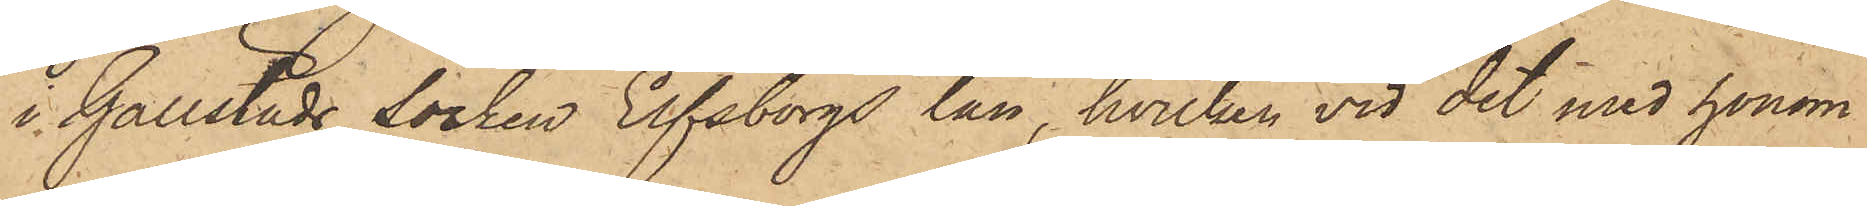i Gällstads socken Elfsborgs län, hvilken vid det med honom
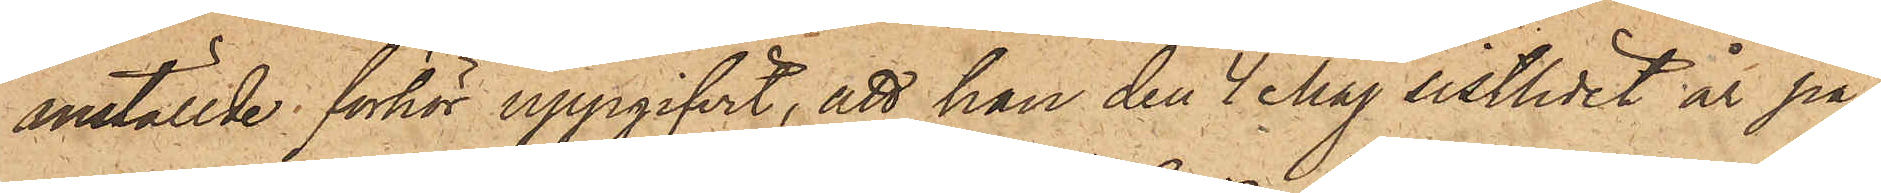anställde förhör uppgifvit, att han den 4 Maj sistlidet år på¬
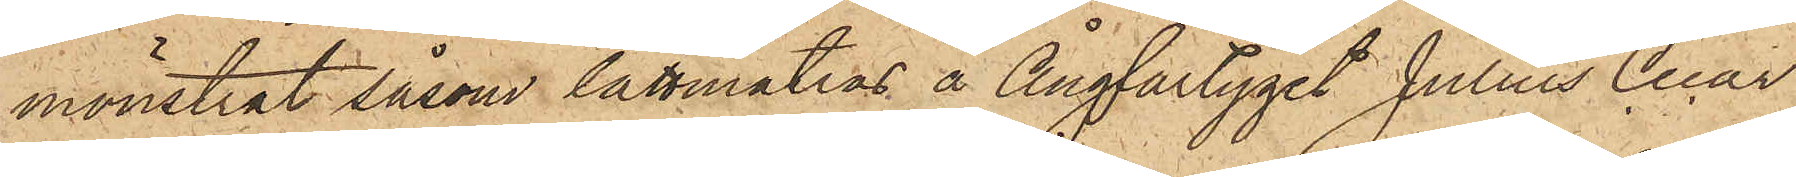mönstrat såsom lättmatros å Ångfartyget Julius Cecar
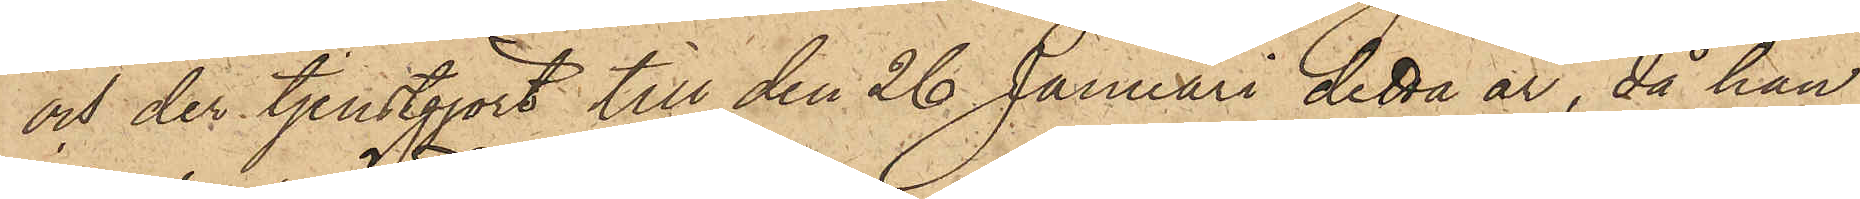och der tjenstgjort till den 26 Januari detta år, då han
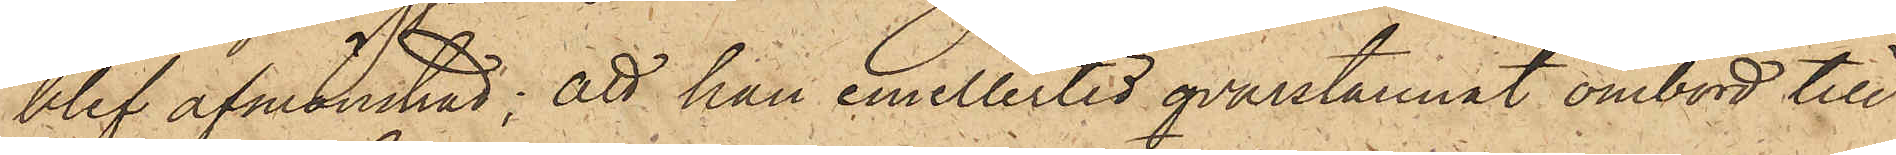blef afmönstrad; att han emellertid qvarstannat ombord till
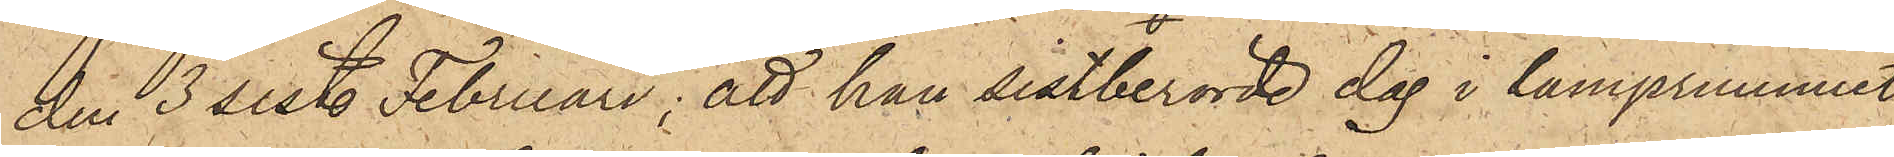den 3 sist. Februari; att han sistberörde dag i lamprummet
